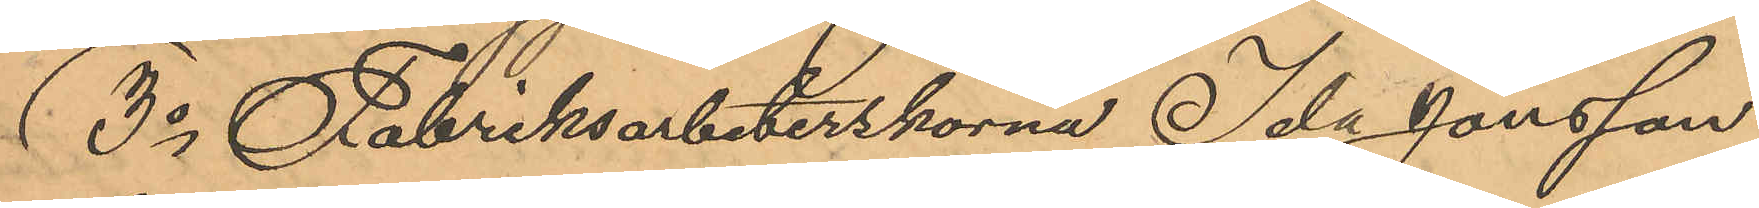3o Fabriksarbeterskorna Ida Jonsson,
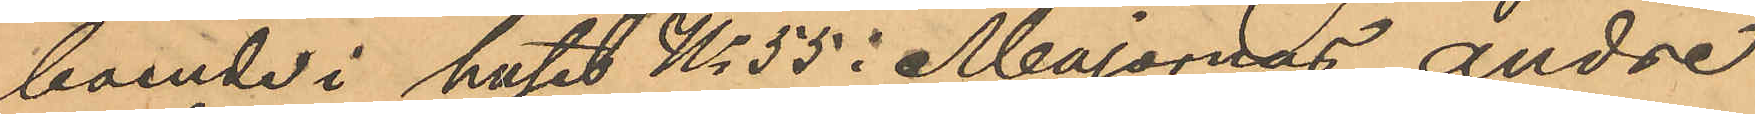boende i huset No 55 i Majonras andre
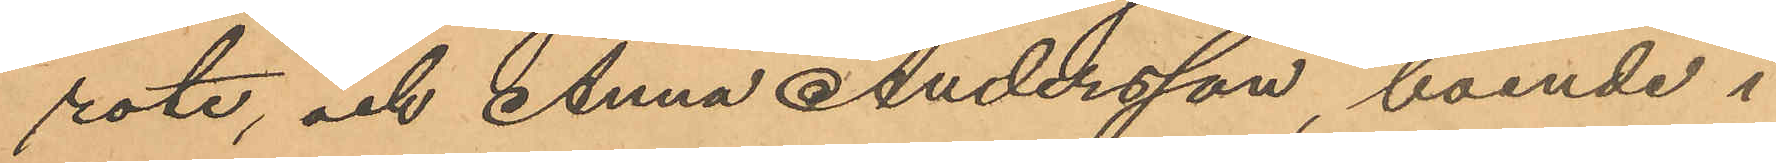rote, och Anna Andersson, boende i
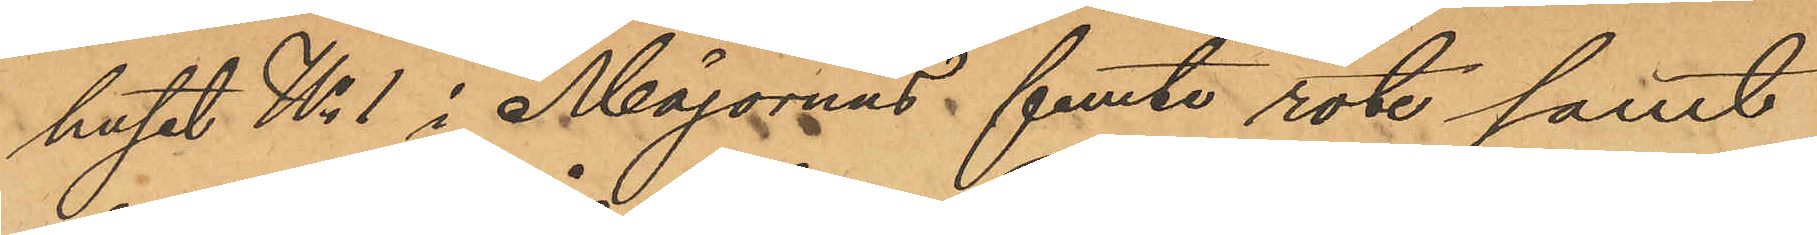huset No 1 i Majornas femte rote samt
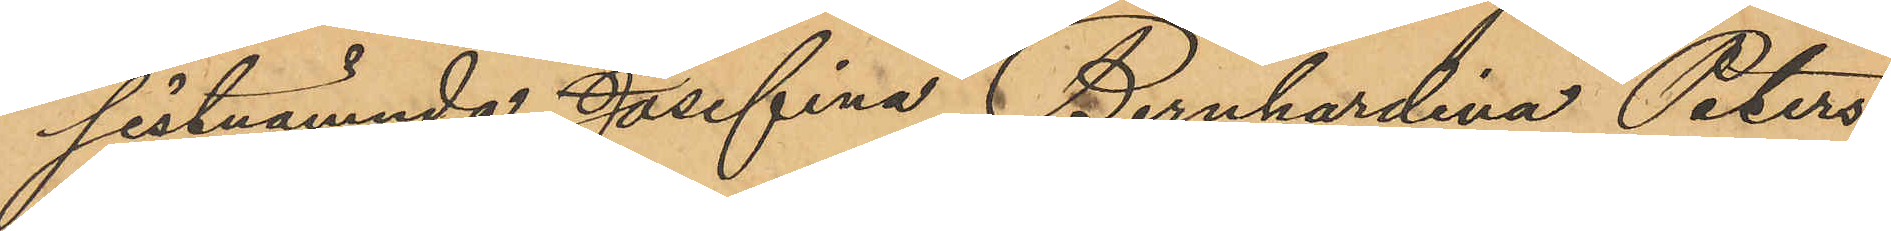sistnämnda Josefina Bernhardina Peters¬
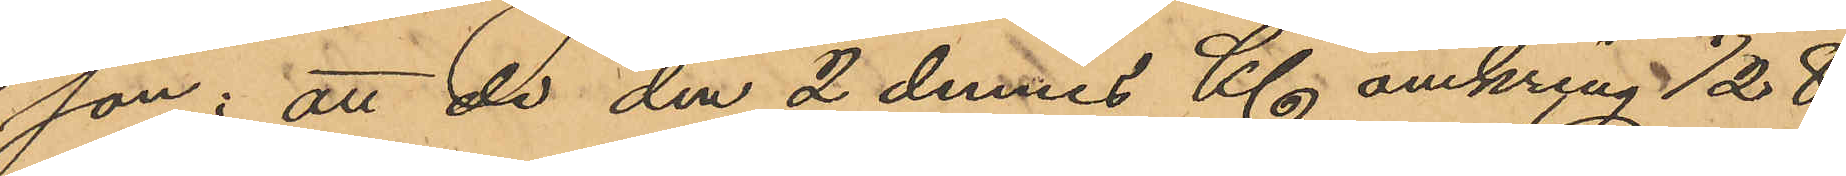son: att de den 2 dennes Kl omkring 1/2 8
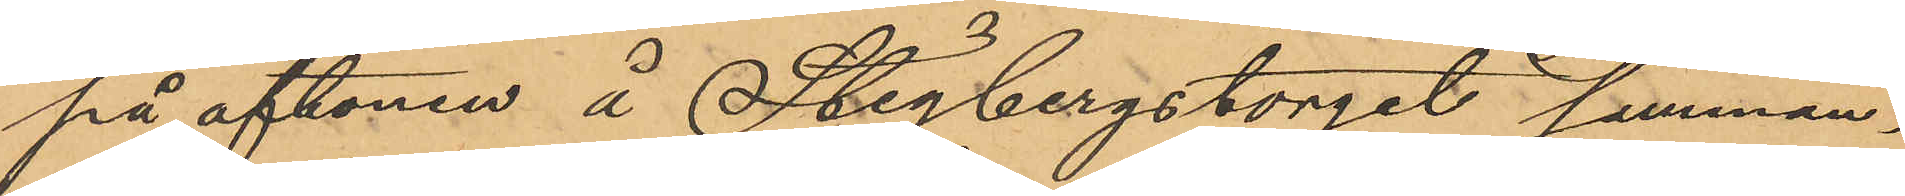på aftonen å Stigbergstorget samman¬
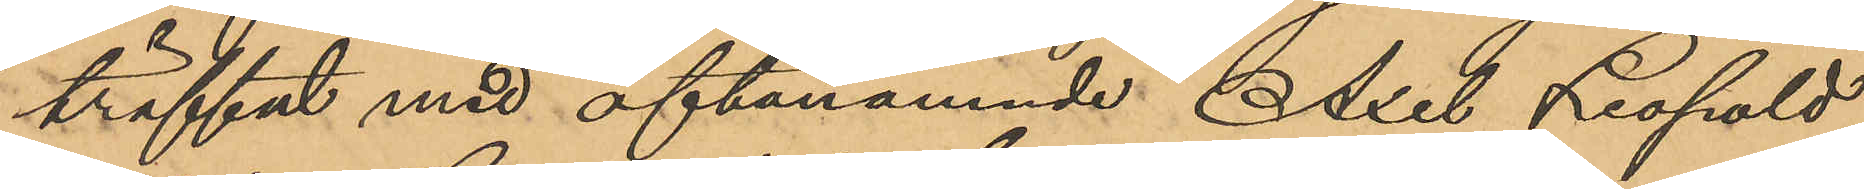träffat med oftanämnde Axel Leopold
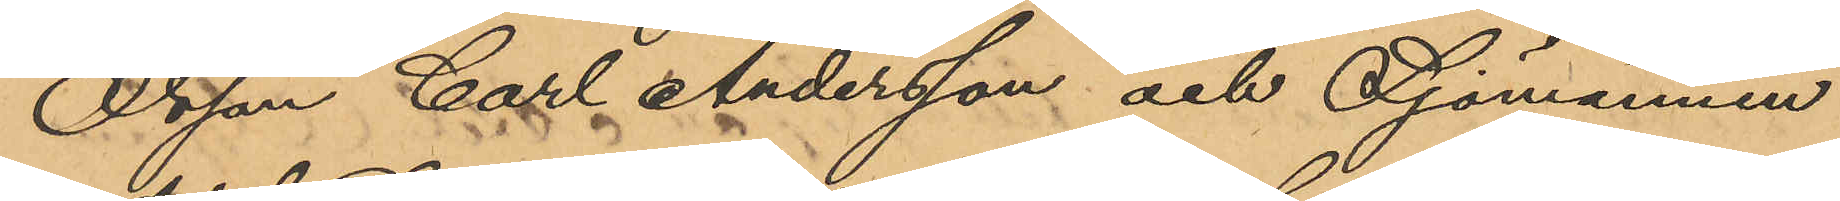Olsson, Carl Andersson och Sjömannen
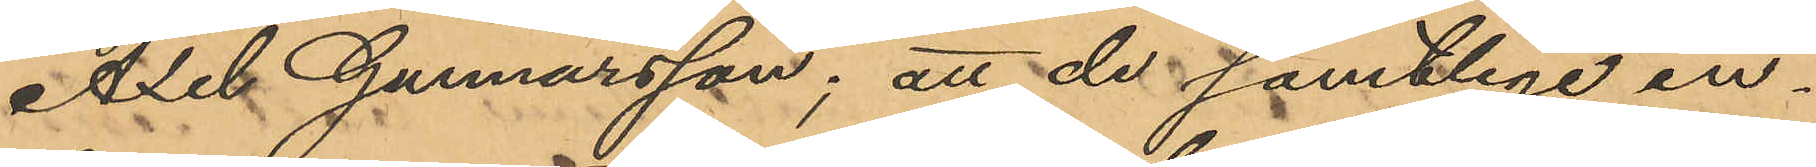Axel Gunnarsson; att de samtlige in¬
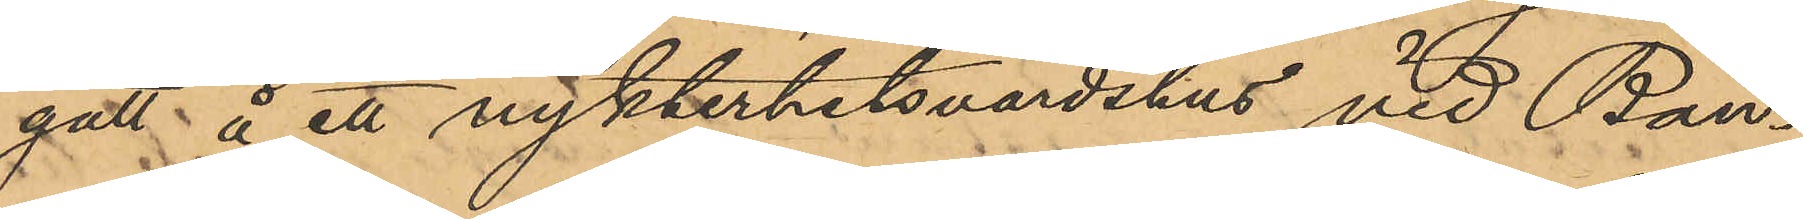gått å ett nykterhetsvärdshus vid Ban¬
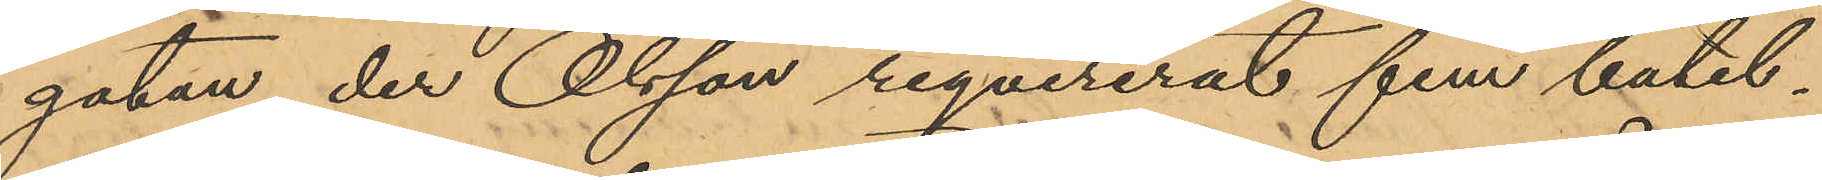gatan, der Olsson reqvirerat fem butel¬
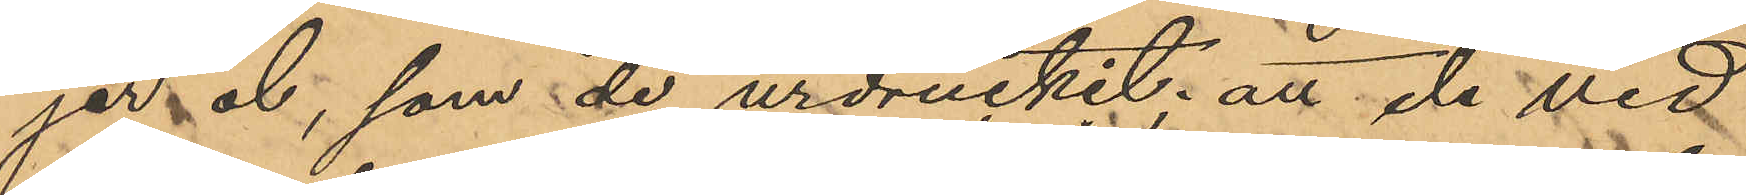jer öl, som de urdruckit; att de vid
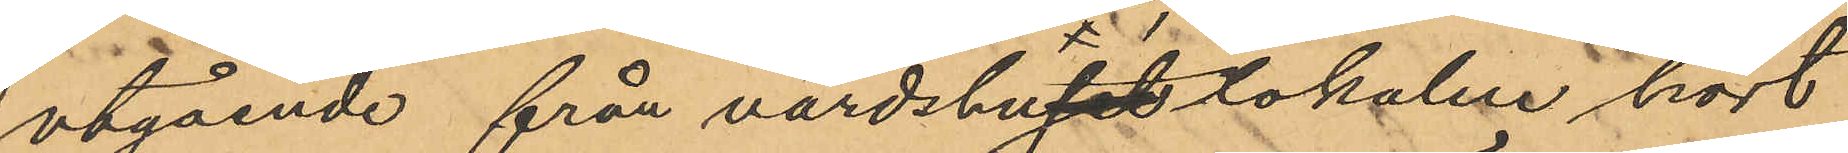utgående från värdshuslokalen hört
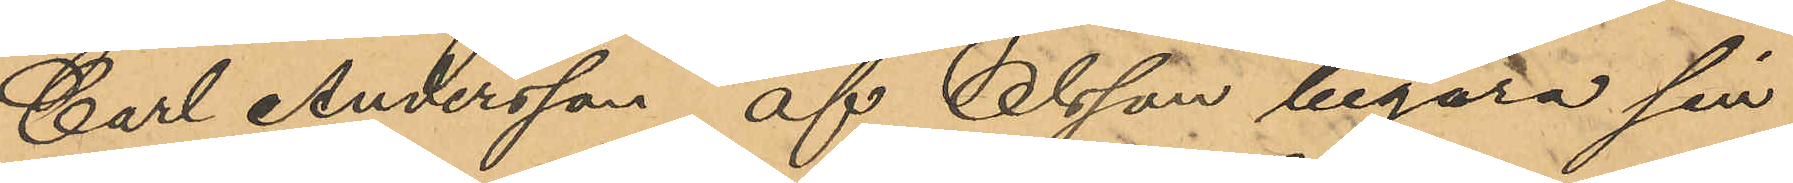Carl Andersson af Olsson begära sin
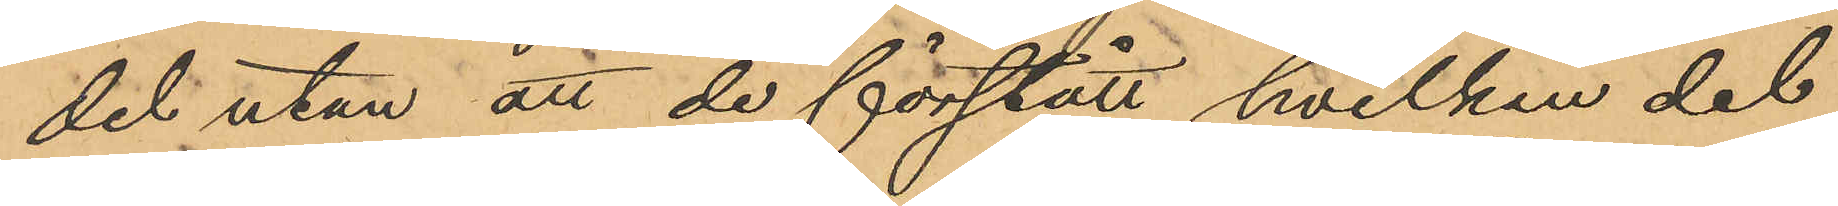del utan att de förstått hvilken del
